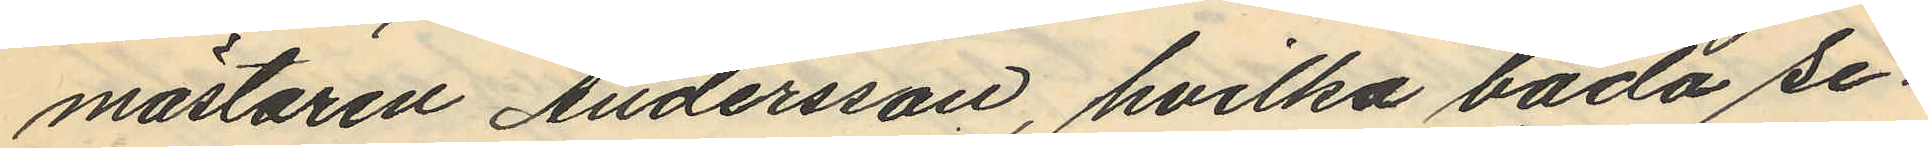mästaren Andersson, hvilka båda se¬
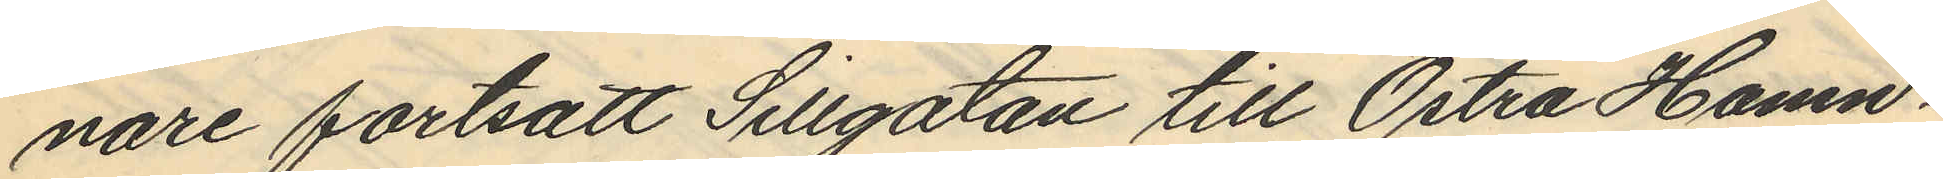nare fortsatt Sillgatan till Östra Hamn¬
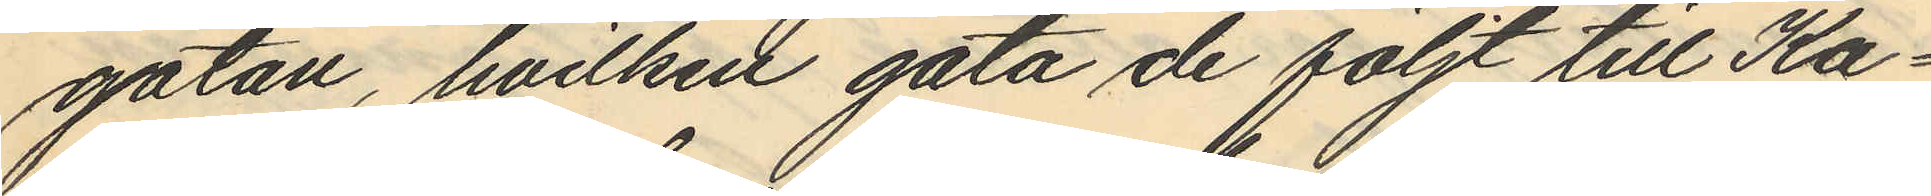gatan, hvilken gata de följt till Ka¬
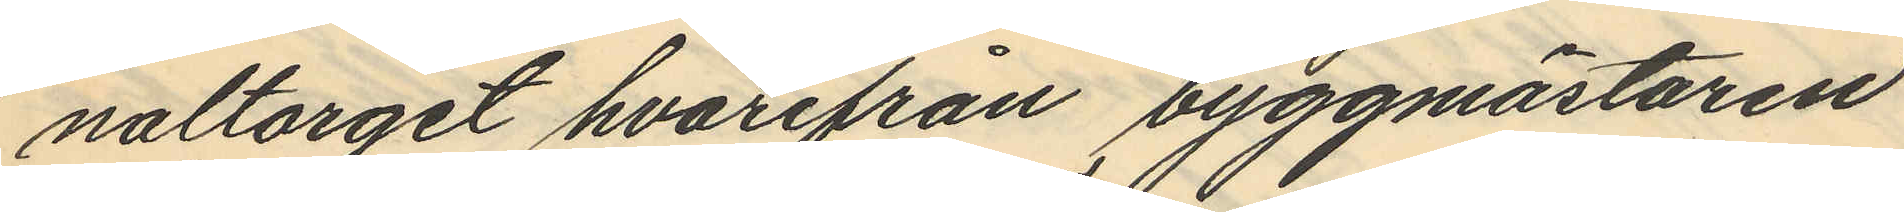naltorget hvarifrån byggmästaren
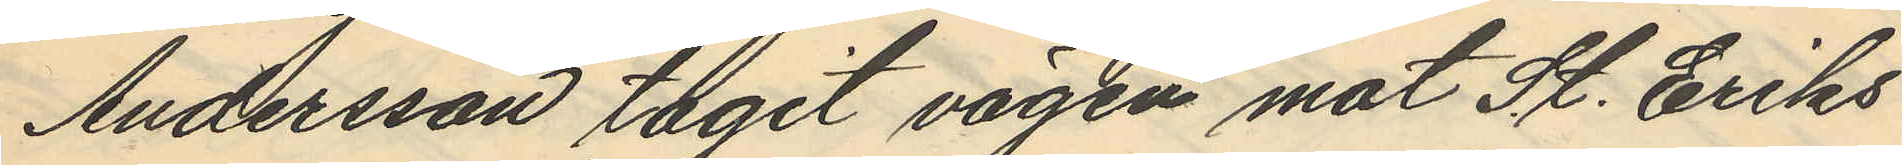Andersson tagit vägen mot St. Eriks
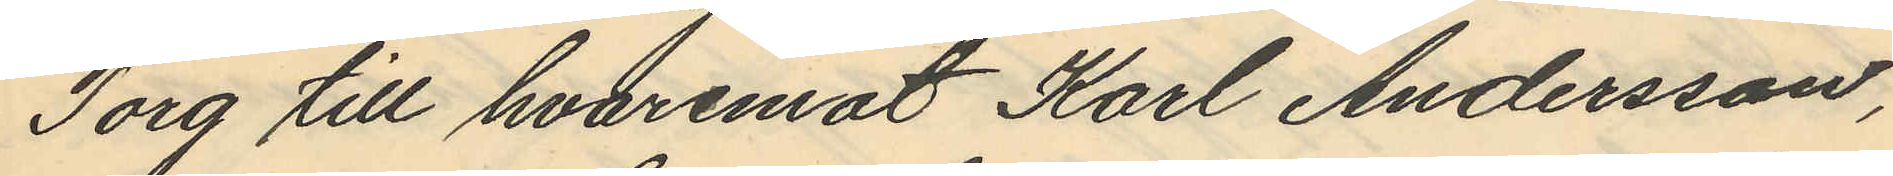Torg till hvaremot Karl Andersson,
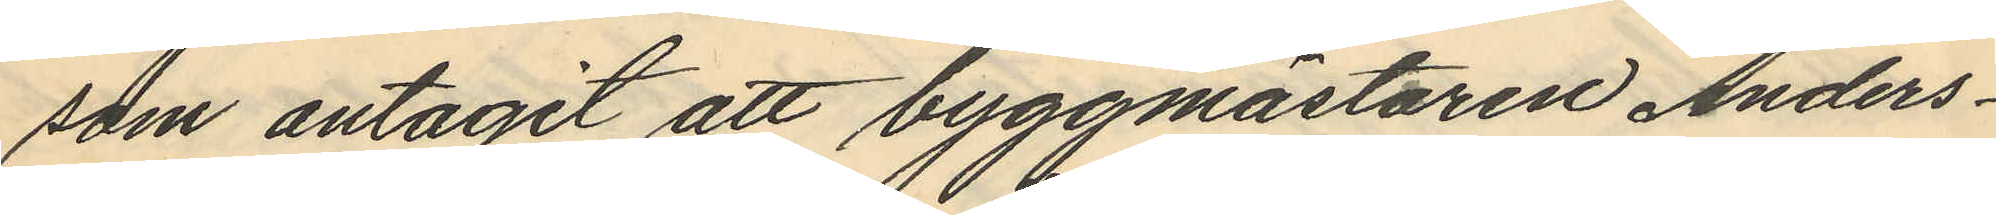som antagit att byggmästaren Anders¬
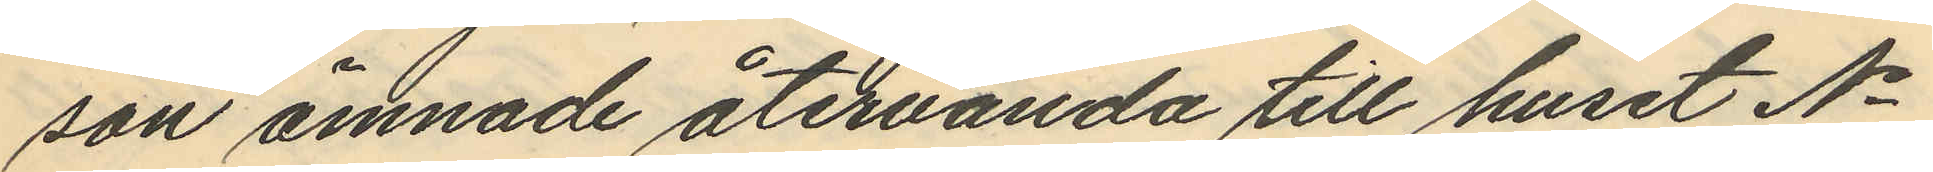son ämnade återvända till huset No
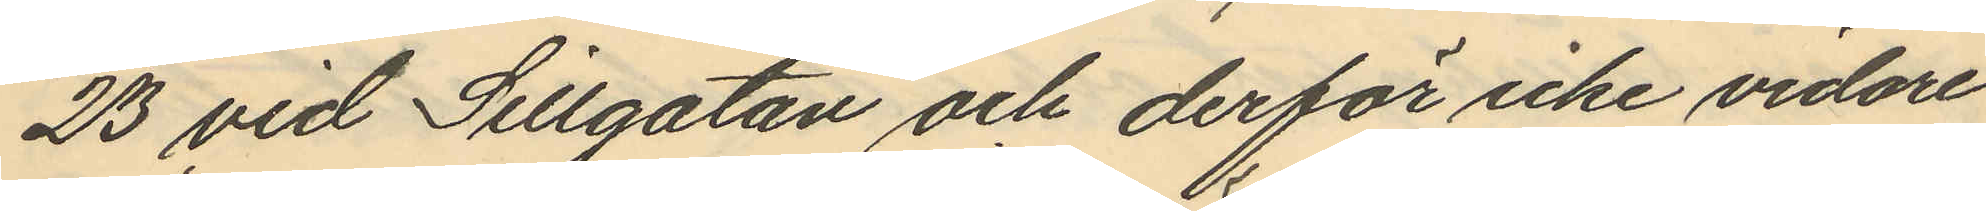23 vid Sillgatan och derför icke vidare
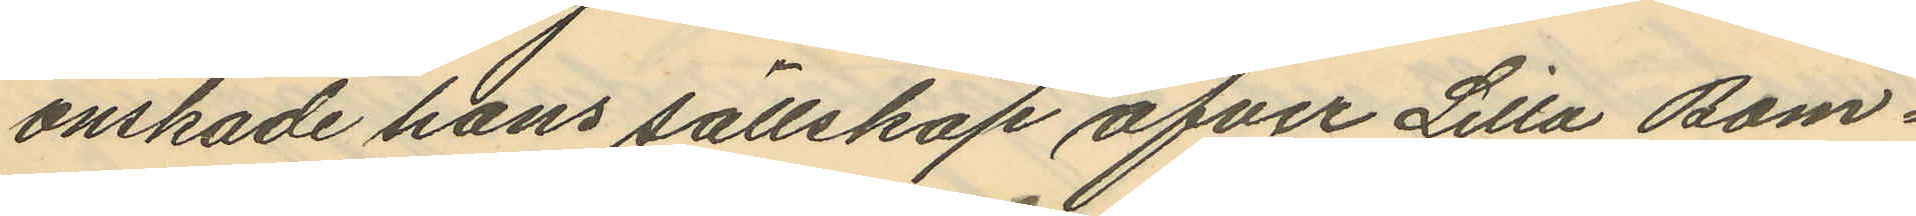önskade hans sällskap öfver Lilla Bom¬
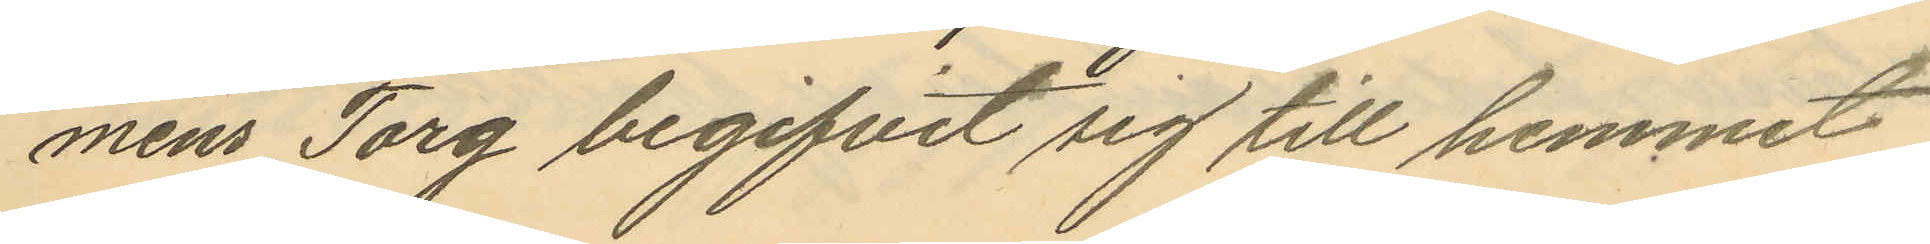mens Torg begifvit sig till hemmet
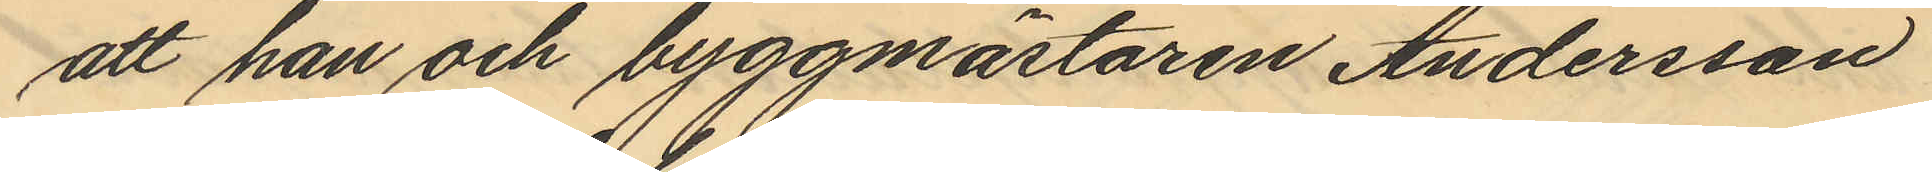att han och byggmästaren Andersson
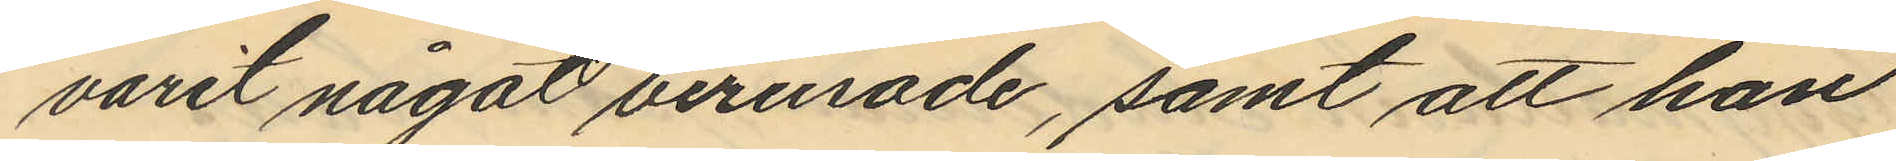varit något berusade, samt att han
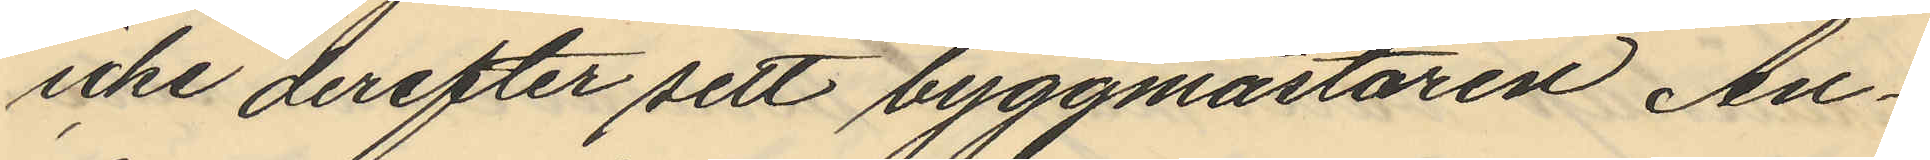icke derefter sett byggmästaren An¬
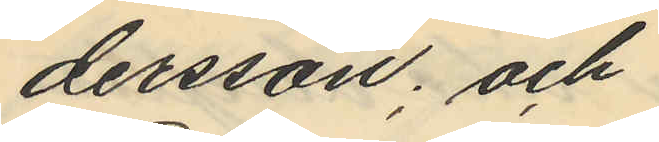dersson; och
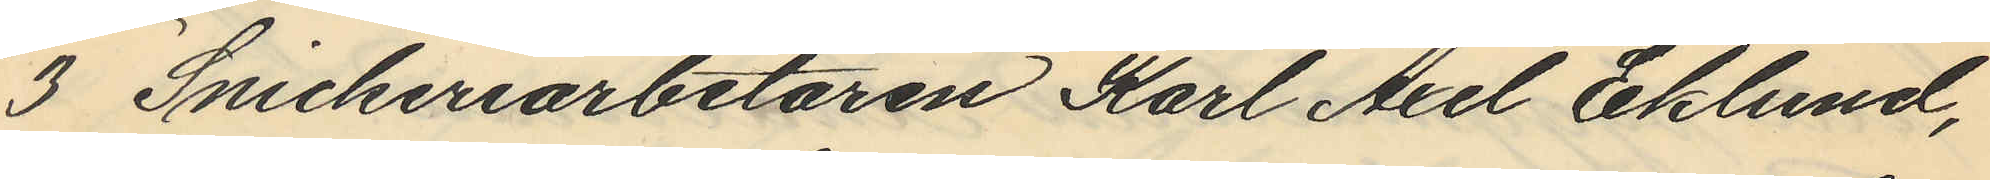3 Snickeriarbetaren Karl Axel Eklund,
